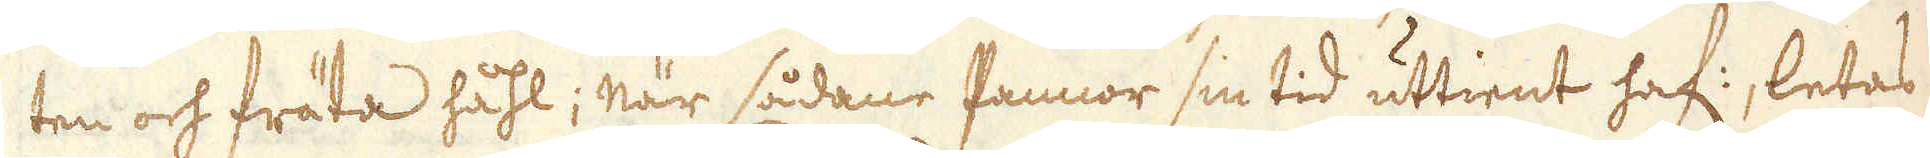ten och fräta håhl; När sådane Pannor sin tid uttient haf:, letas
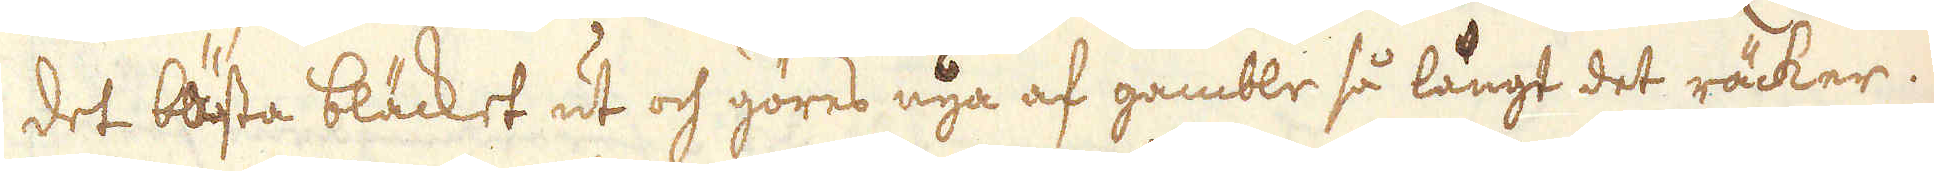det bästa bläcket ut och göres nya af gamble så långt det räcker.
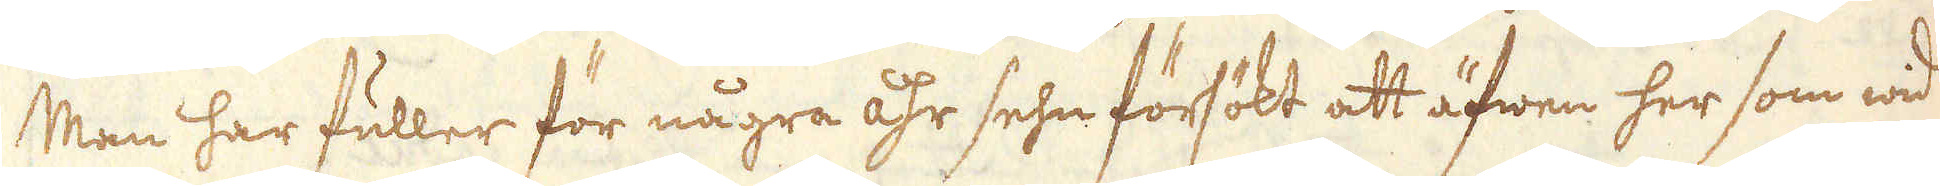Man har fuller för några åhr sehn försökt att äfwen her som wid
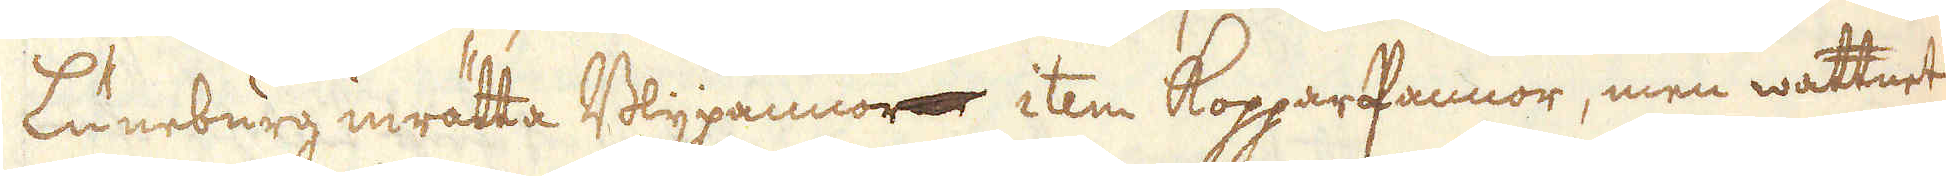Luneburg inrätta Blypannorne item KopparPannor, men wattnet
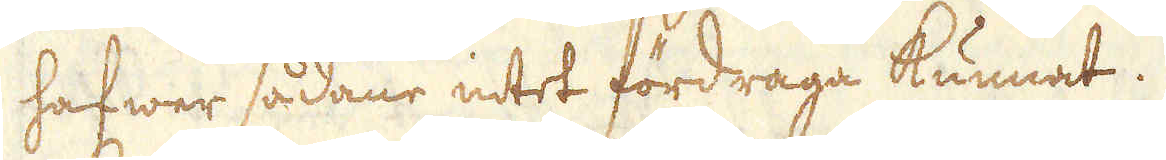hafwer sådane intet fördraga kunnat.
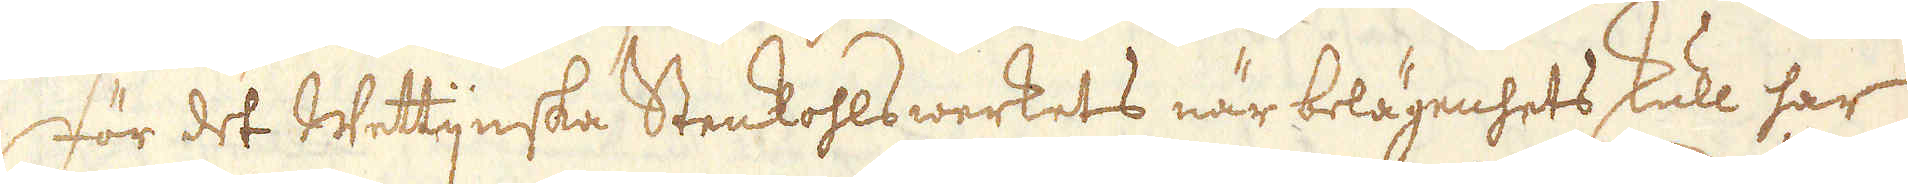För det Wettijnska Stenkohlswerkets när belägenhets skull har
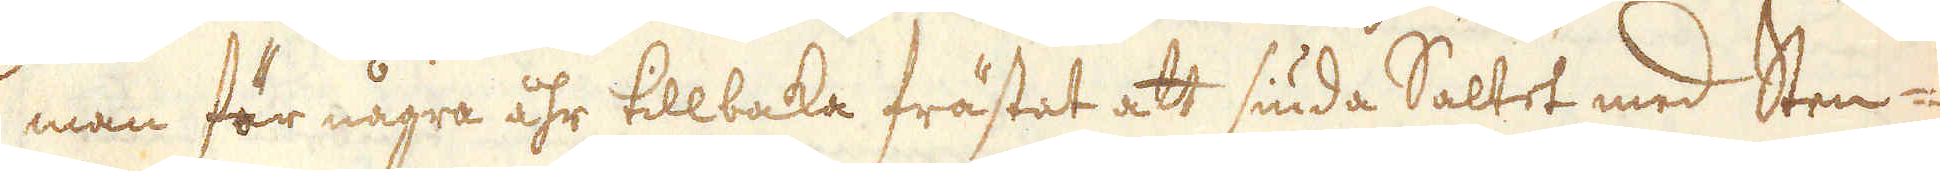man för några åhr tillbaka frästat att siuda Saltet med Sten-
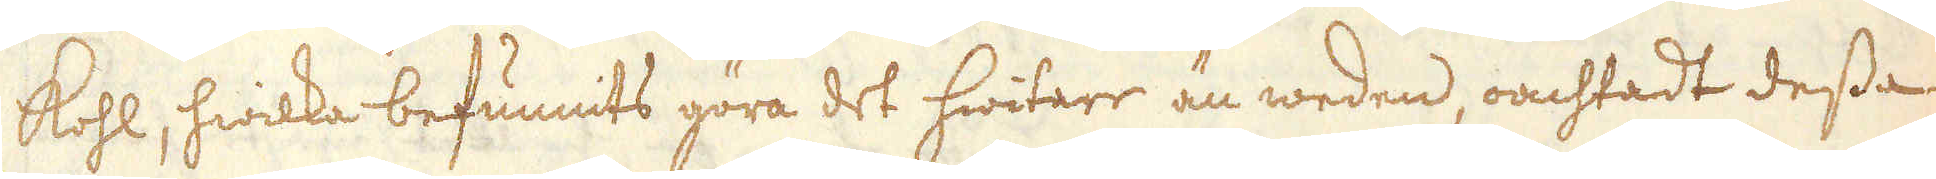kohl, hwilka befunnits göra det hwitare än weden, oachtadt dessa
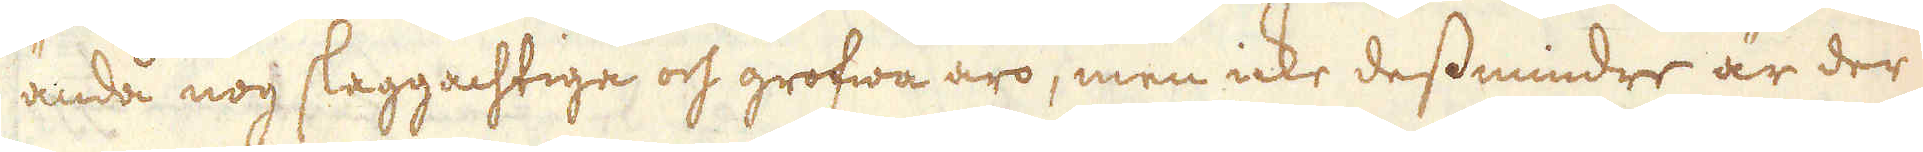anda nog slaggachtige och grofwa äro, men icke dessmindre är der
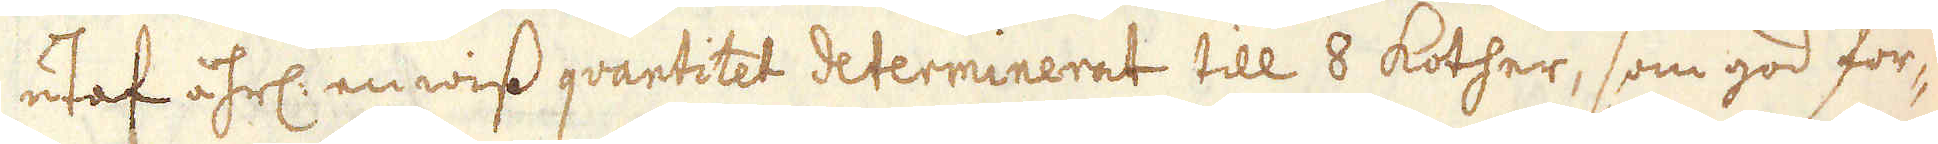utaf åhrl: en wiss qvantitet determinerat till 8 kother, som god för-
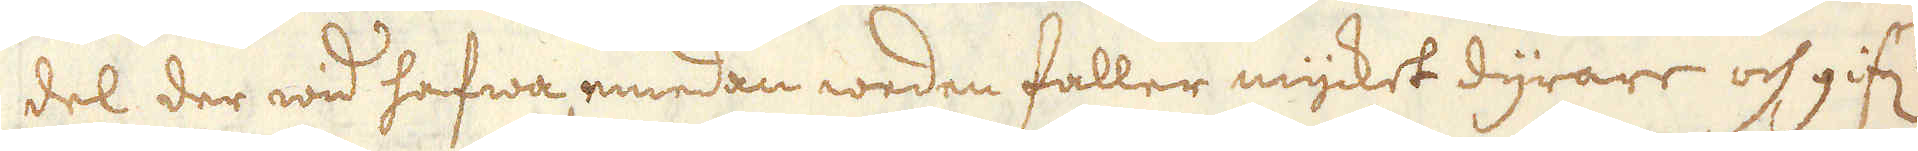del der wid hafwa emedan weden faller mycket dyrare och gif:r
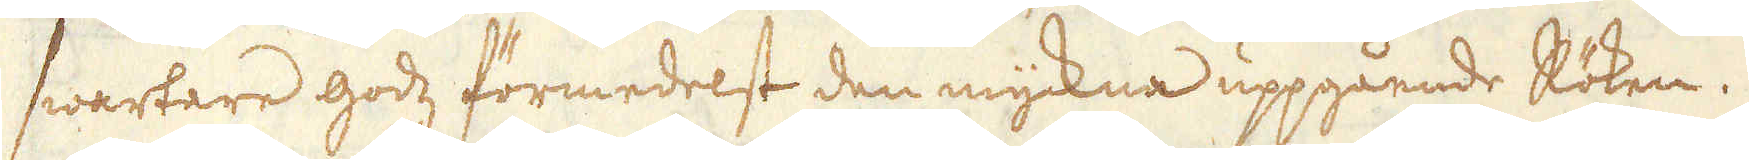swartare godz förmedelst den myckna uppgående Röken.
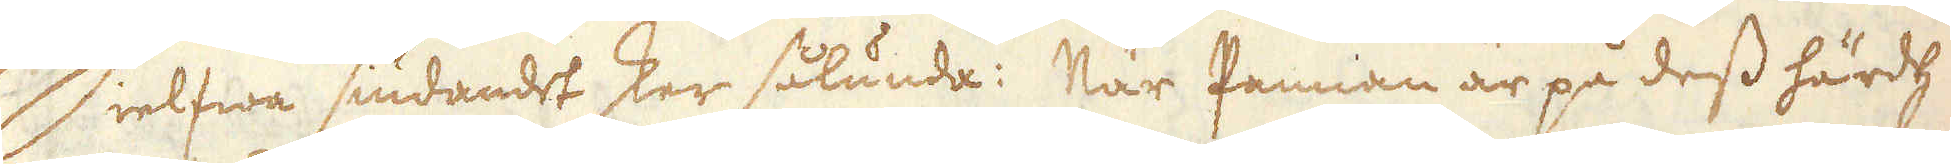Sielfwa siudandet sker sålunda: När Pannan är på dess härdh
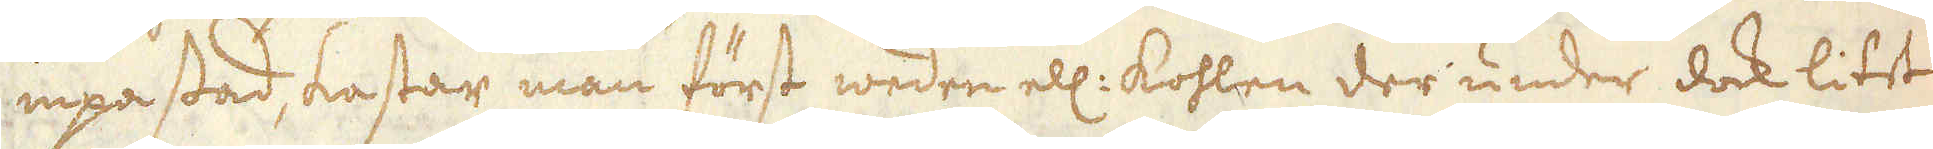inpassad, kastar man först weden ell: kohlen der under dock litet
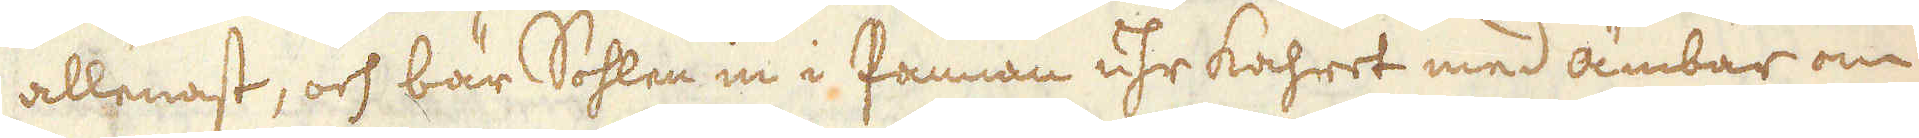allenast, och bär Sohlen in i Pannan uhr kahret med ämbar om
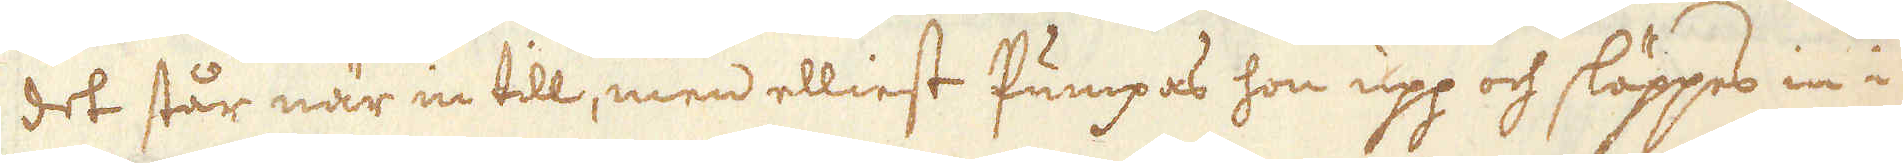det står när in till, men elliest Pumpas hon upp och släppes in i
